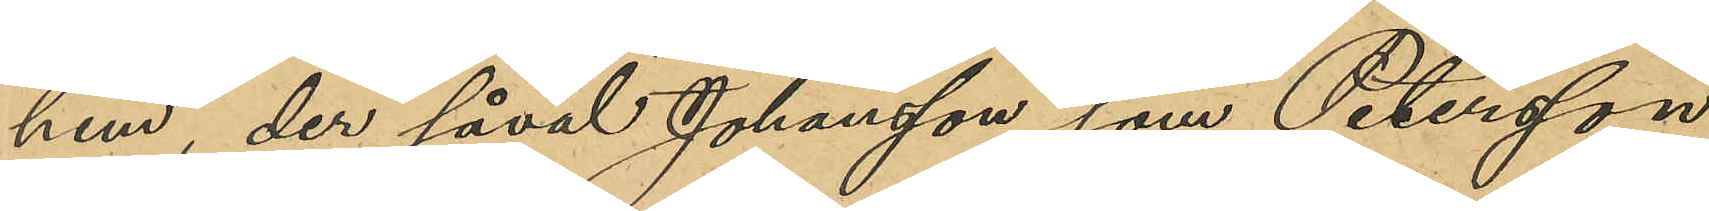hem, der såväl Johansson som Petersson
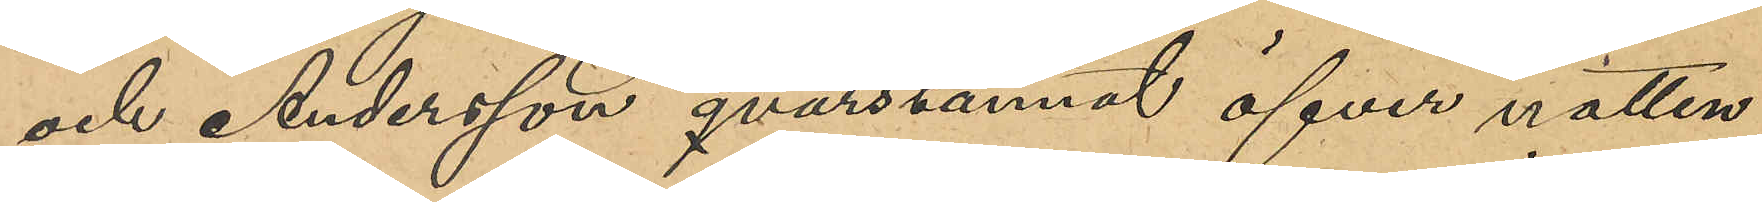och Andersson qvarstannat öfver natten;
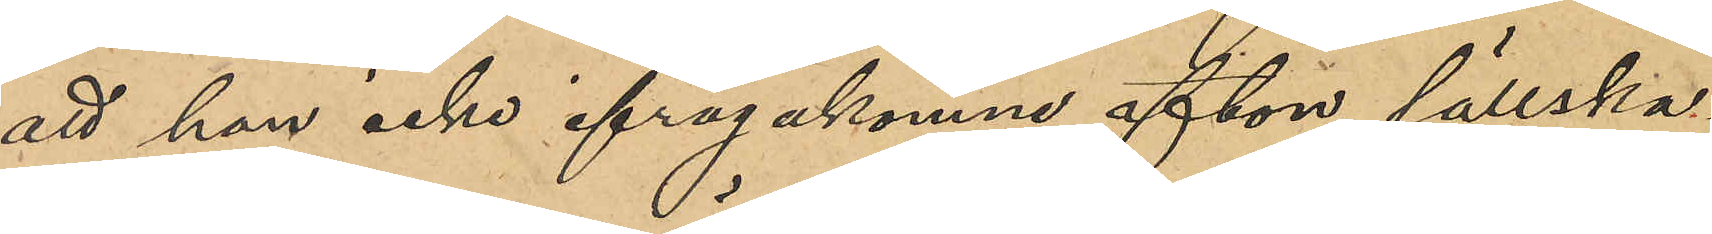att han icke ifrågakomne afton sällska-
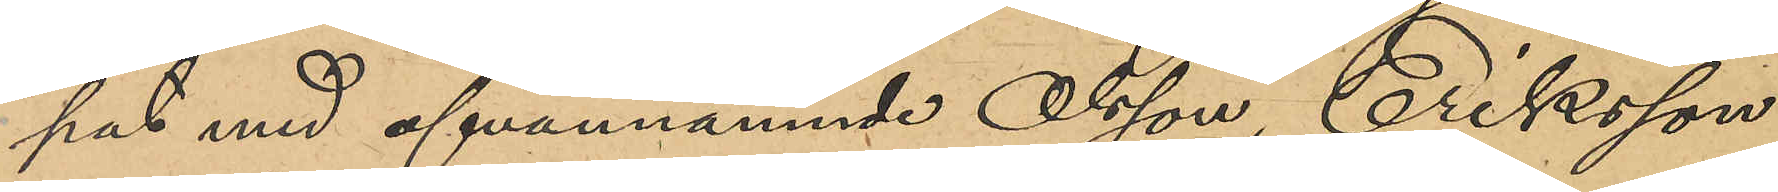pat med ofvannämnde Olsson, Eriksson 
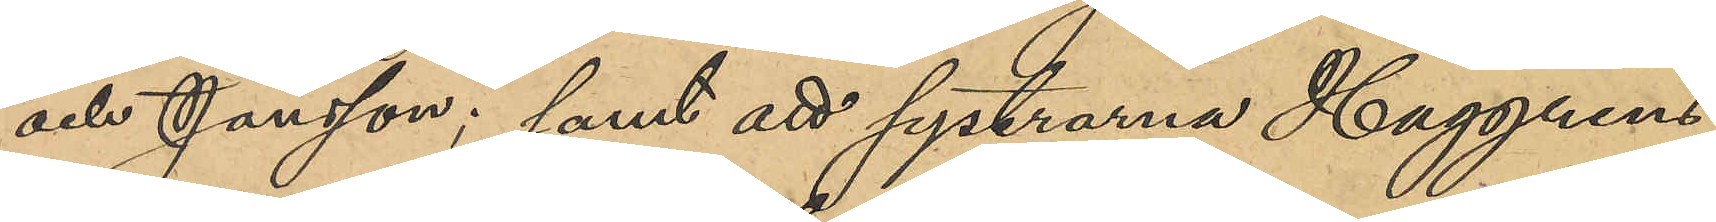och Jansson; samt att systrarna Haggrens
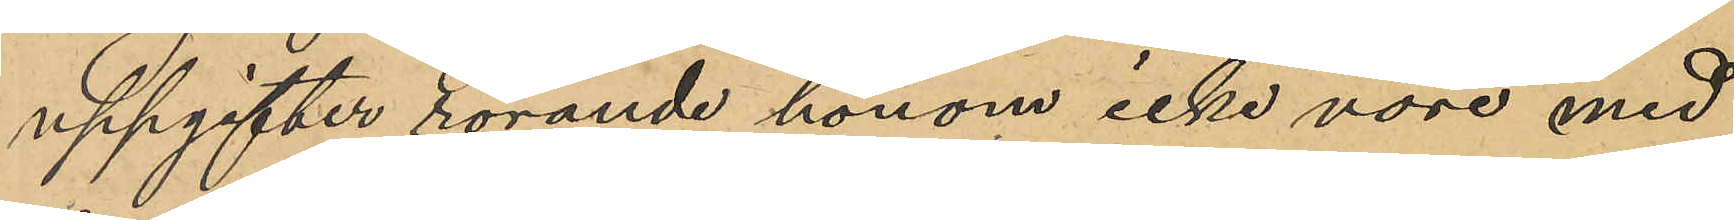uppgifter rörande honom icke vore med
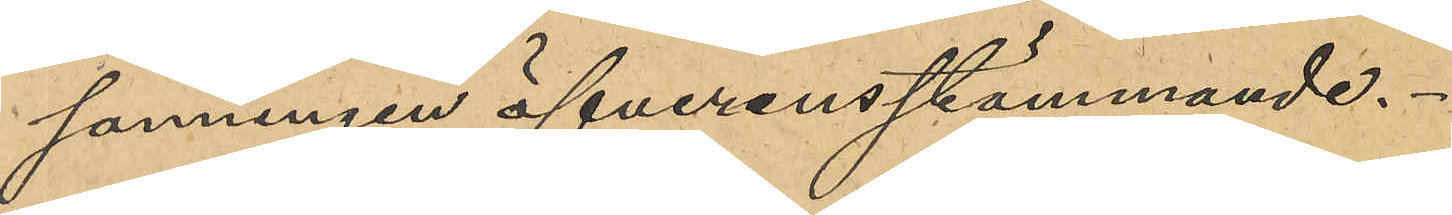sanningen öfverensstämmande.
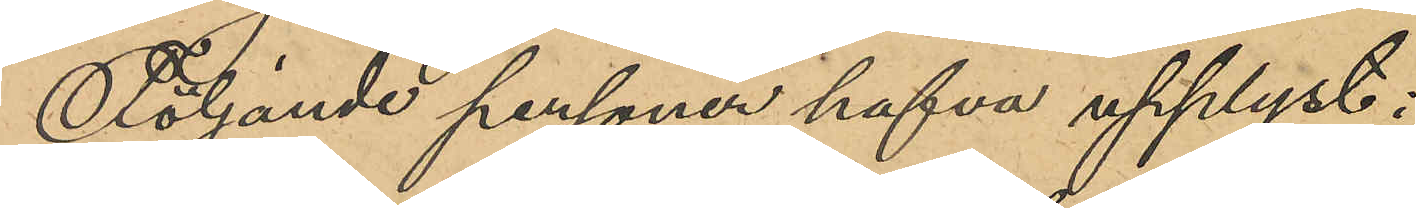Följande personer hafva upplyst:
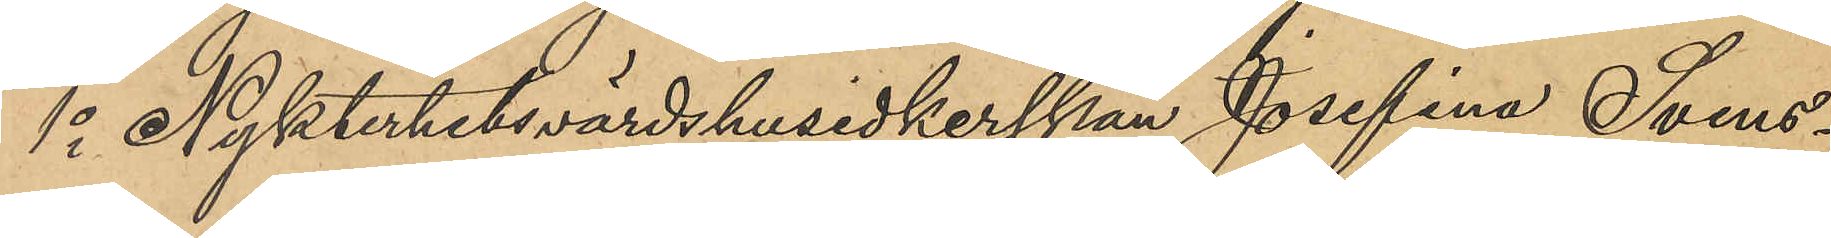1o Nykterhetsvärdshusidkerskan Josefina Svens¬
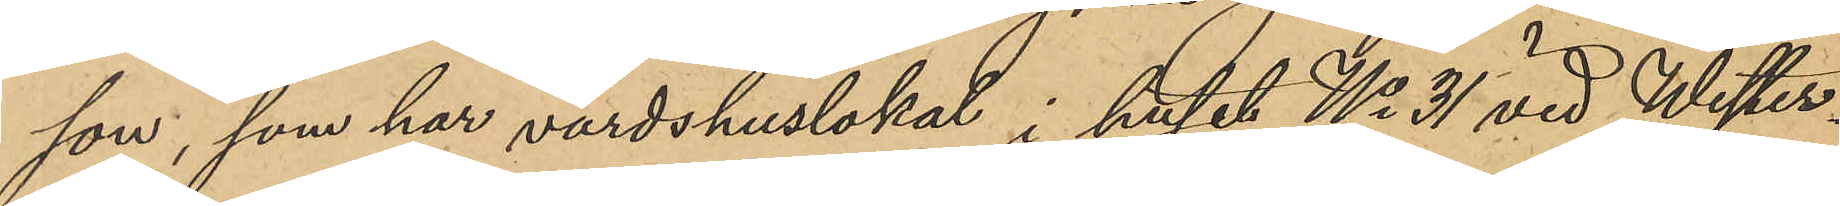son, som har värdshuslokal i huset No 31 vid Wester¬
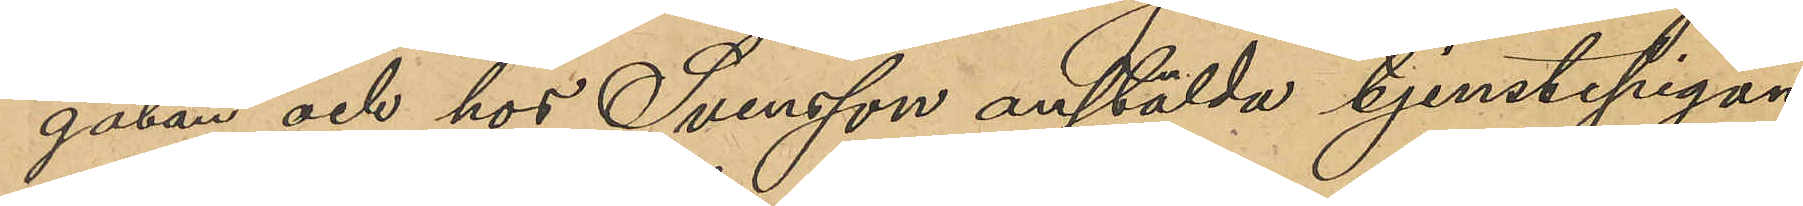gatan och hos Svensson anställda tjenstepigan
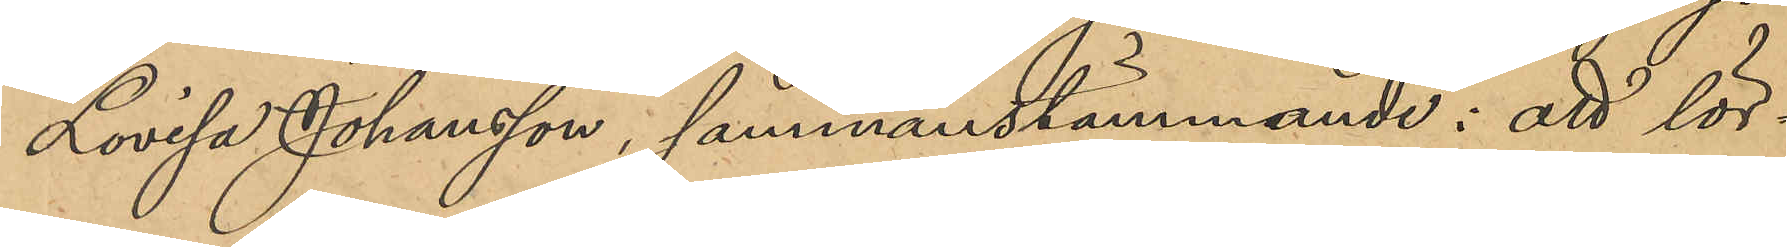Lovisa Johansson, sammanstämmande: att lör¬
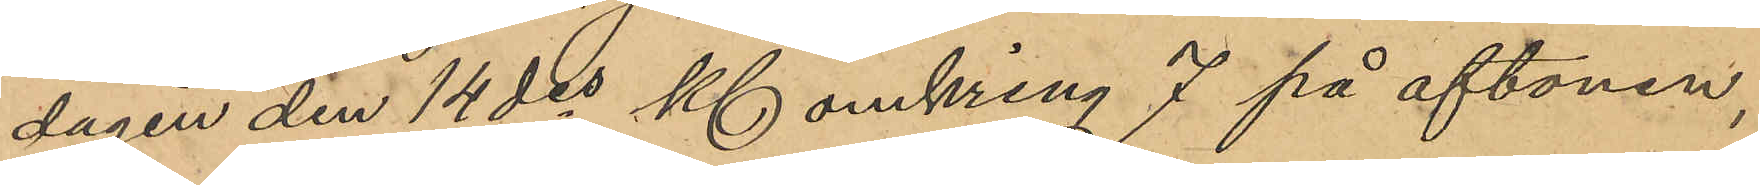dagen den 14 des Kl omkring 7 på aftonen,
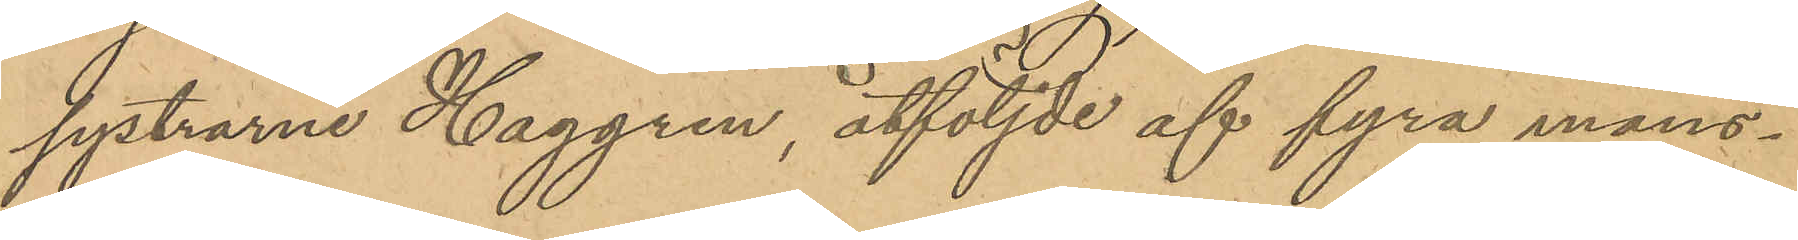systrarna Haggren, åtföljde af fyra mans¬
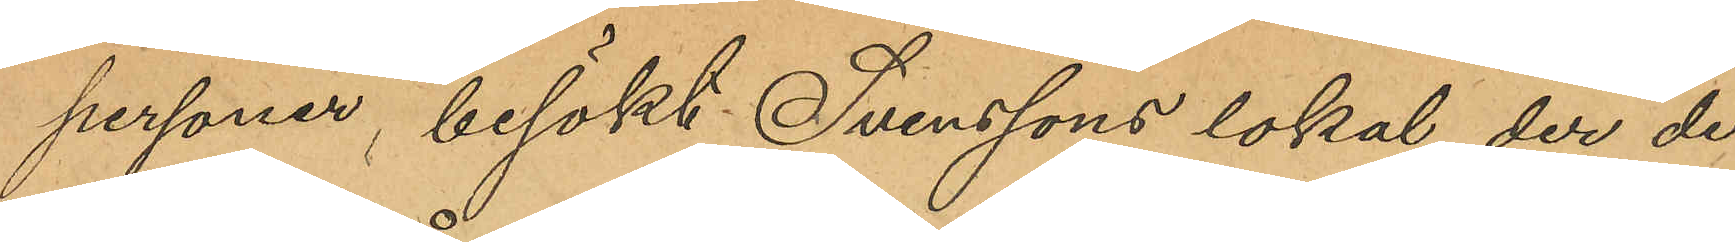personer, besökt Svenssons lokal, der de
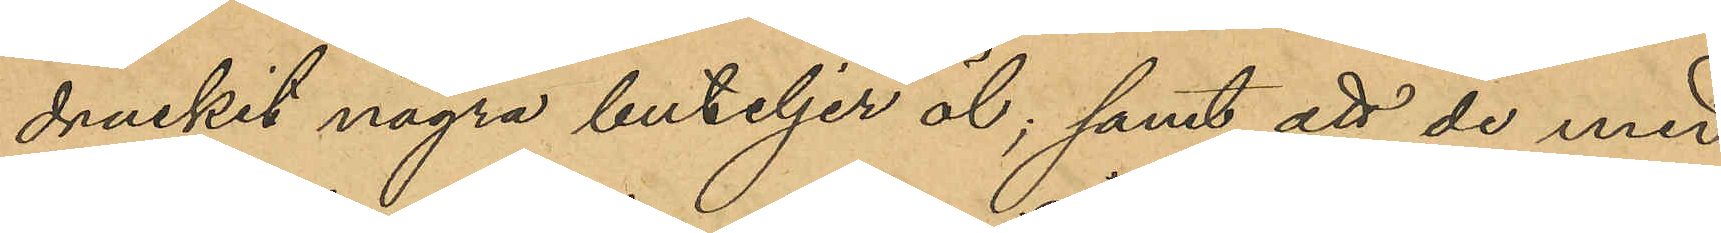druckit några buteljer öl, samt att de med
